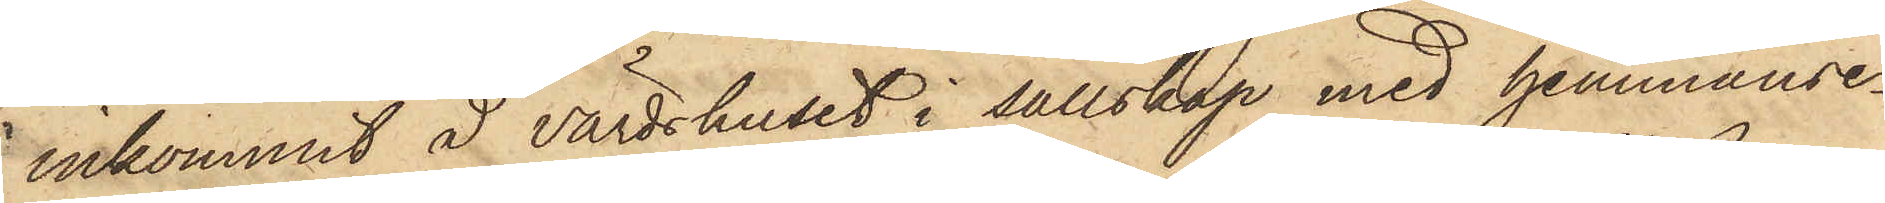inkommit å värdshuset i sällskap med hemmanse¬
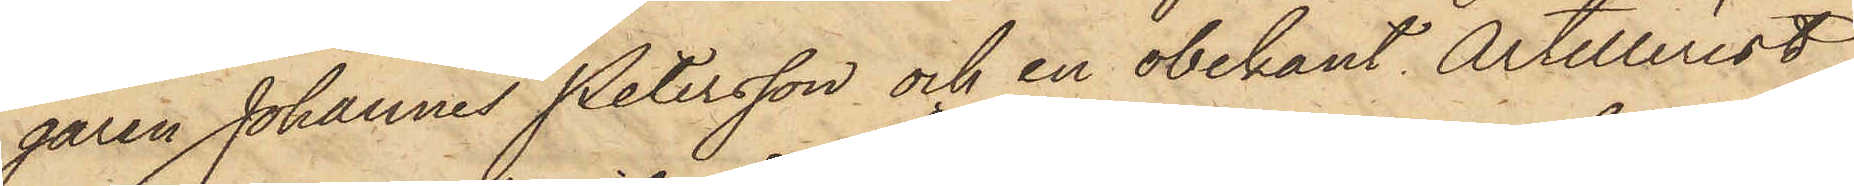garen Johannes Petersson och en obekant Artillerist,
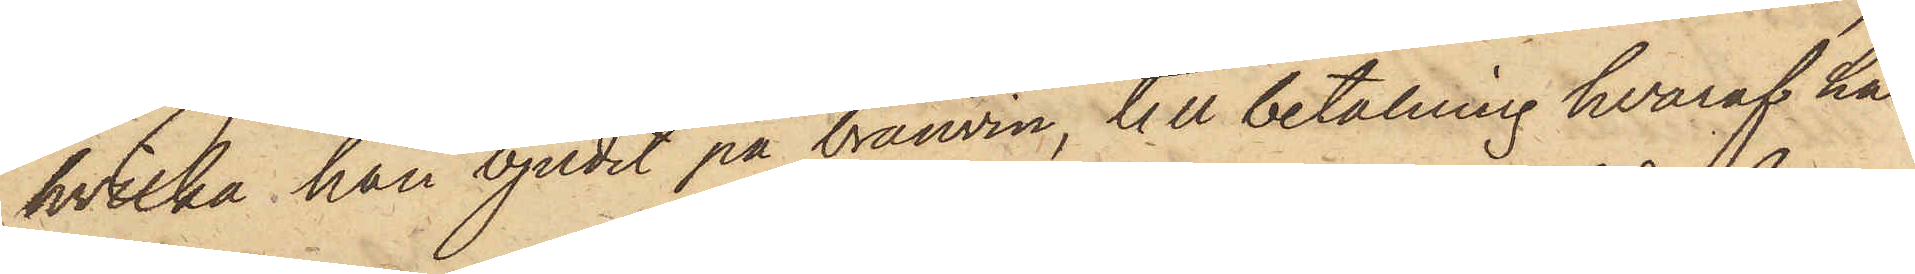hvilka han bjudit på bränvin, till betalning hvaraf han
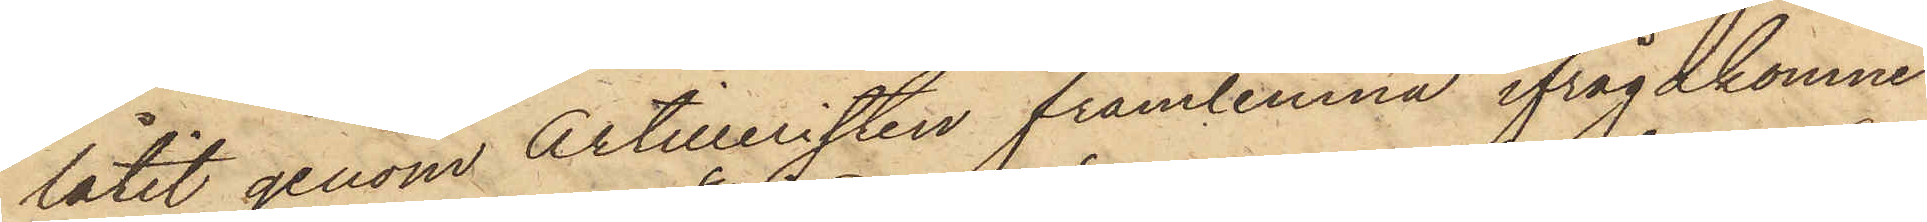låtit genom Artilleristen framlemna ifrågakomne
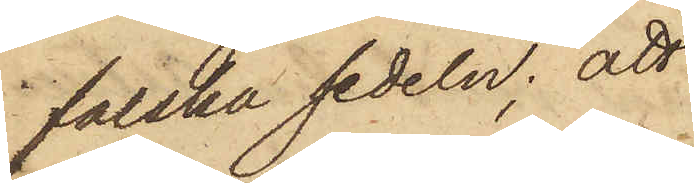falska sedeln; att
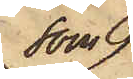som
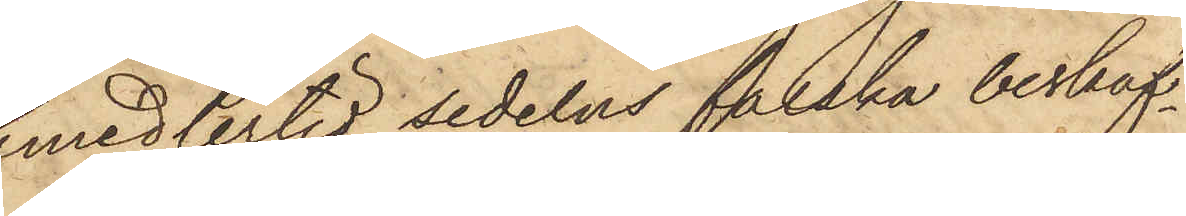emedlertid sedelns falska beskaf¬
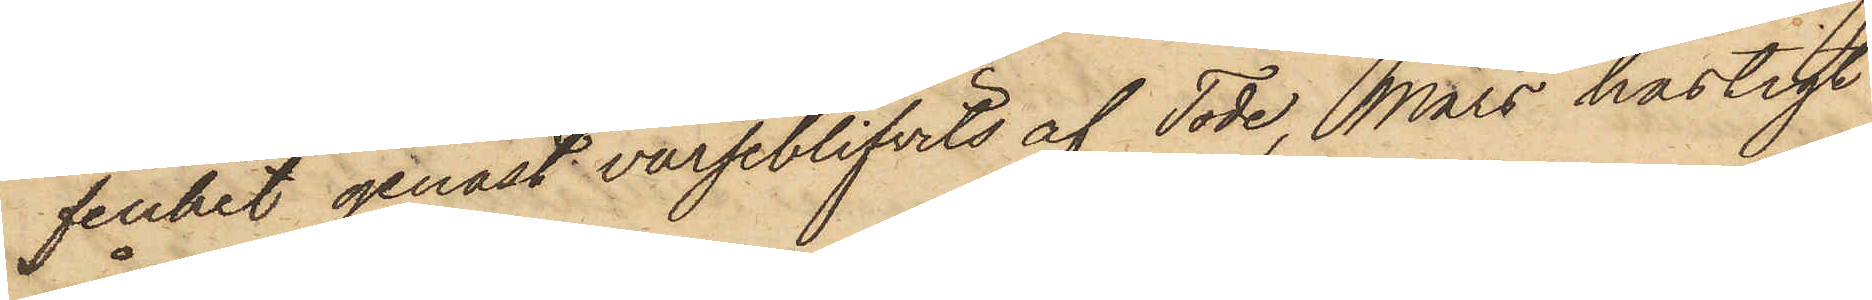fenhet genast varseblifvits af Tode, Mars hastigt
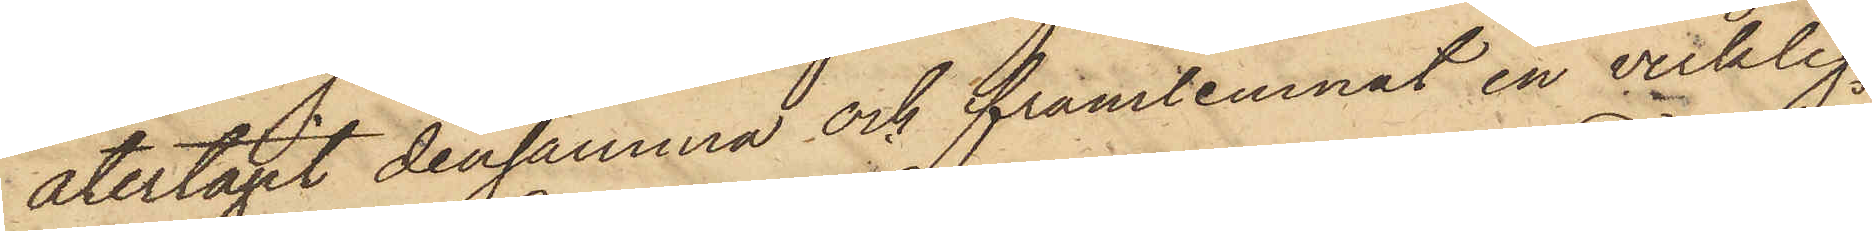återtagit densamma och framlemnat en verklig
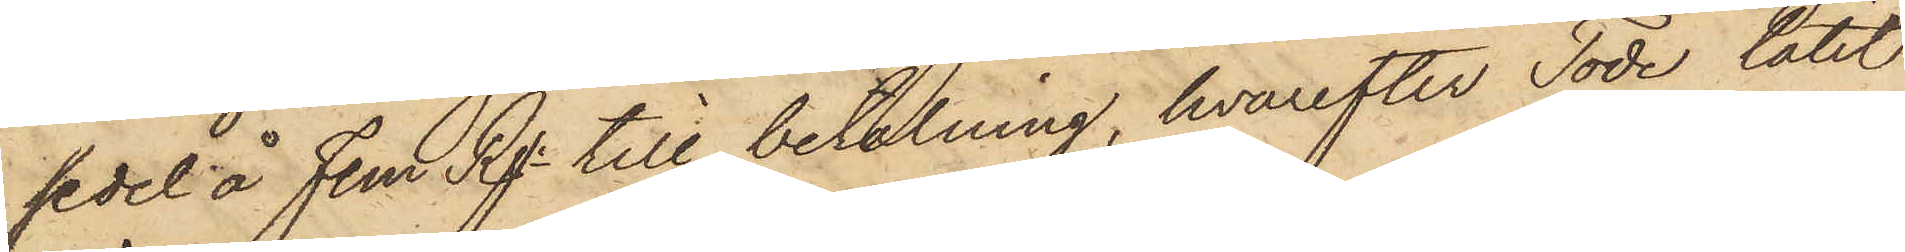sedel å Fem Rgr till betalning, hvarefter Tode låtit
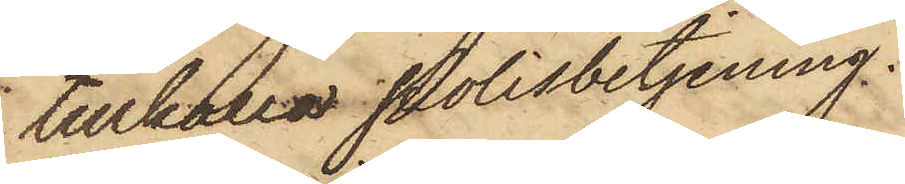tillkalla Polisbetjening.
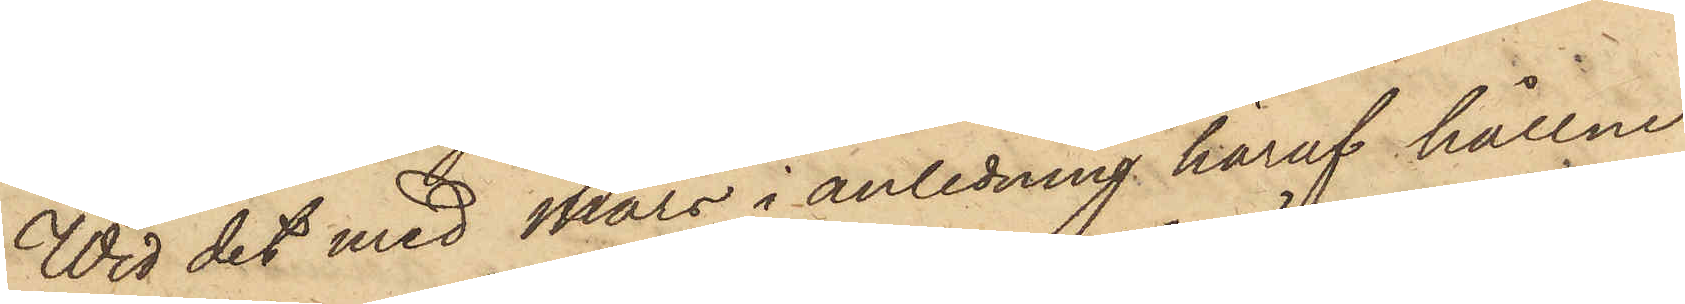Wid det med Mars i anledning häraf hållne
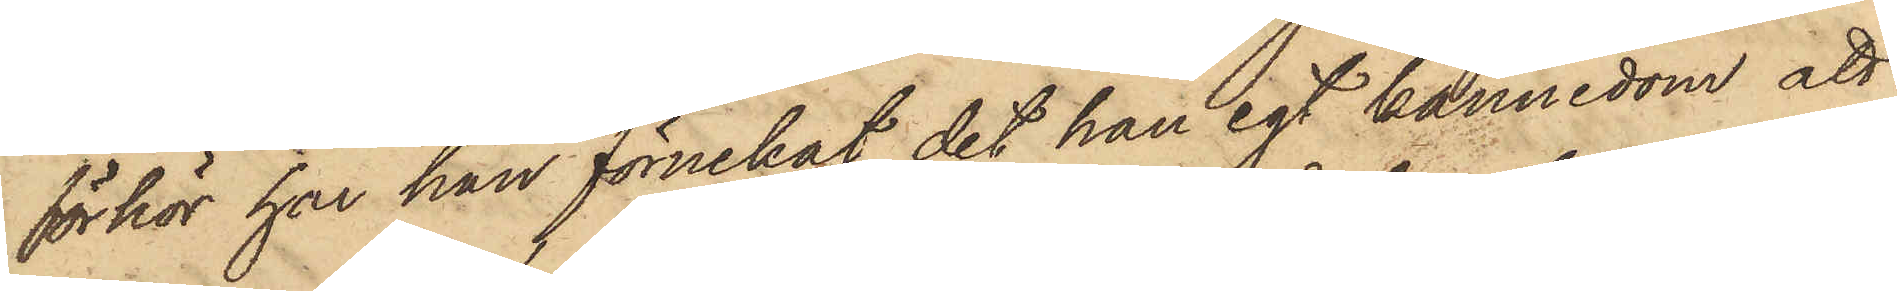förhör har han förnekat, det han egt kännedom att
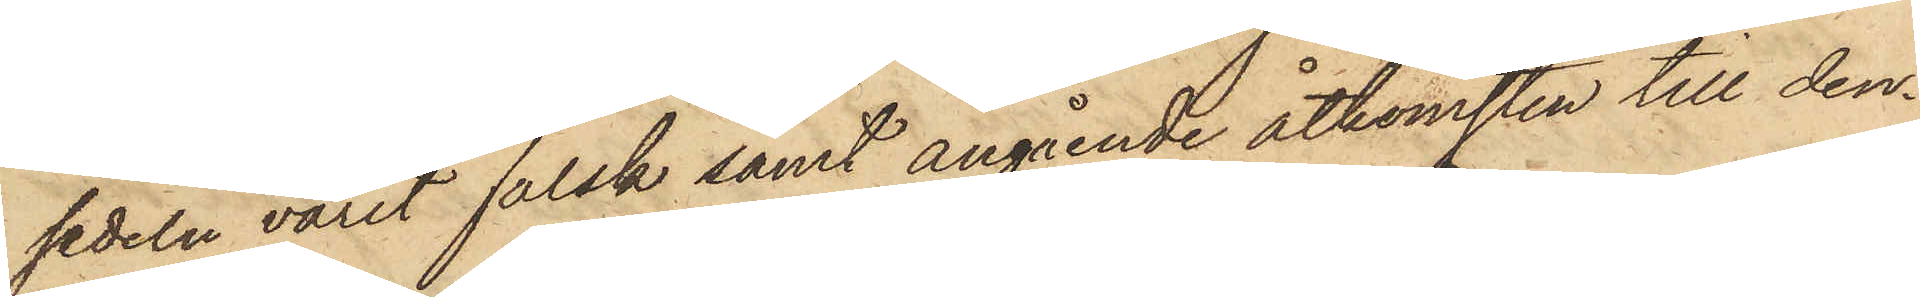sedeln varit falsk samt angående åtkomsten till den¬
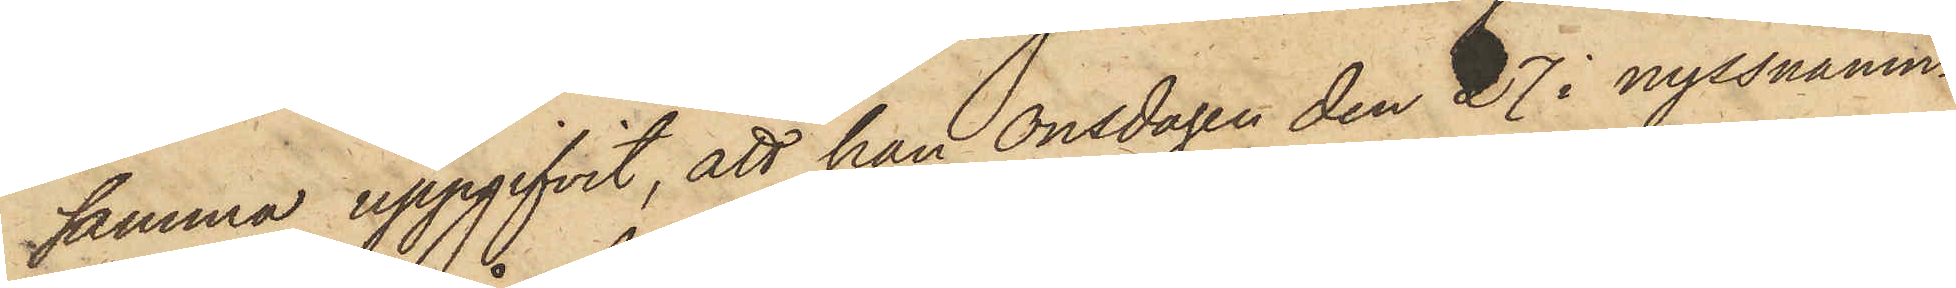samma uppgifvit, att han Onsdagen den 27 i nyssnämn¬
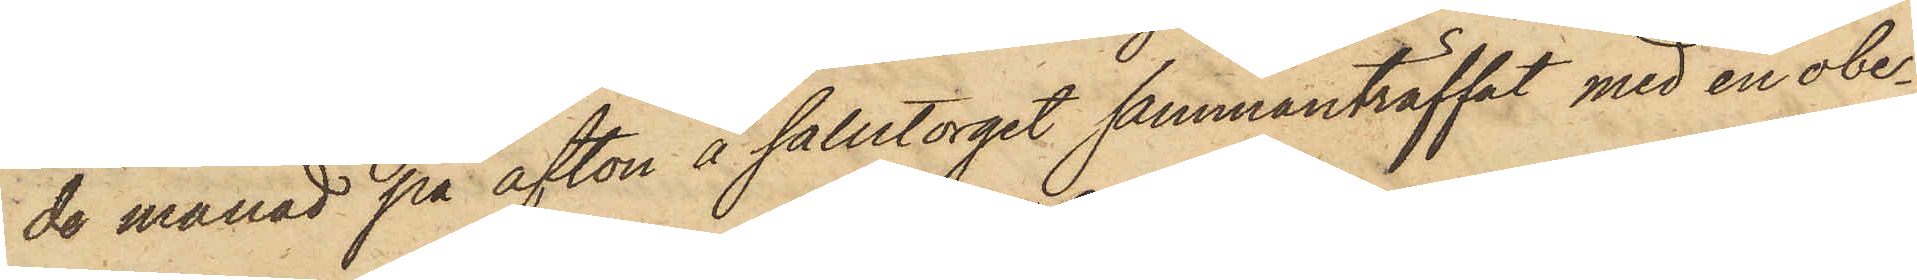de månad på afton å salutorget sammanträffat med en obe¬
